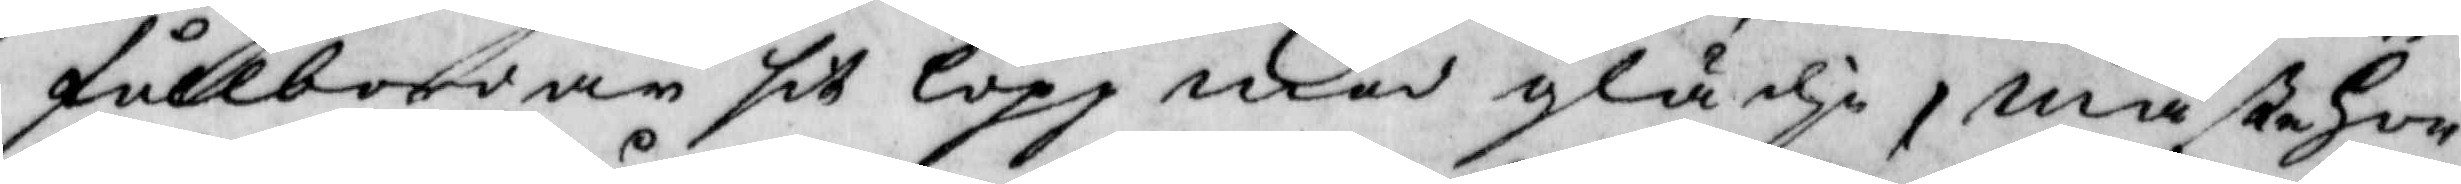fullbordar sit lopp med glädje, måste hon
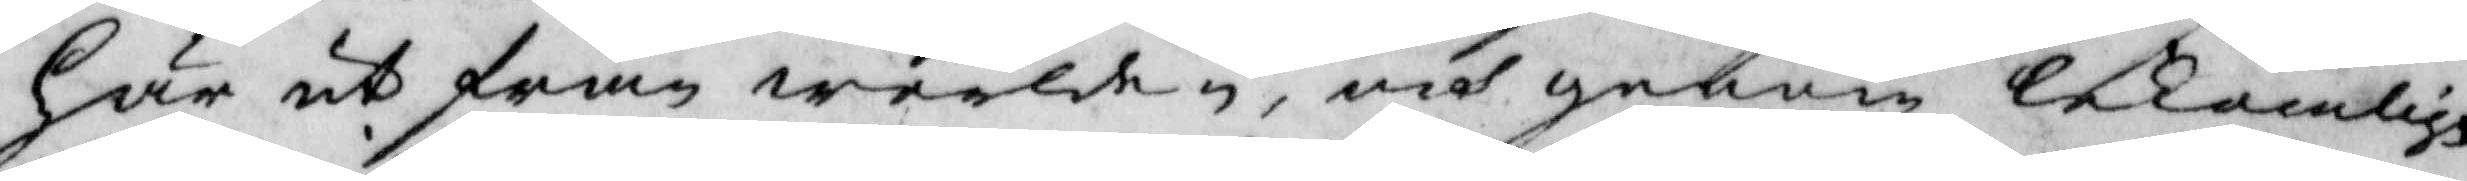här ut från werlden, och genom lekamlig
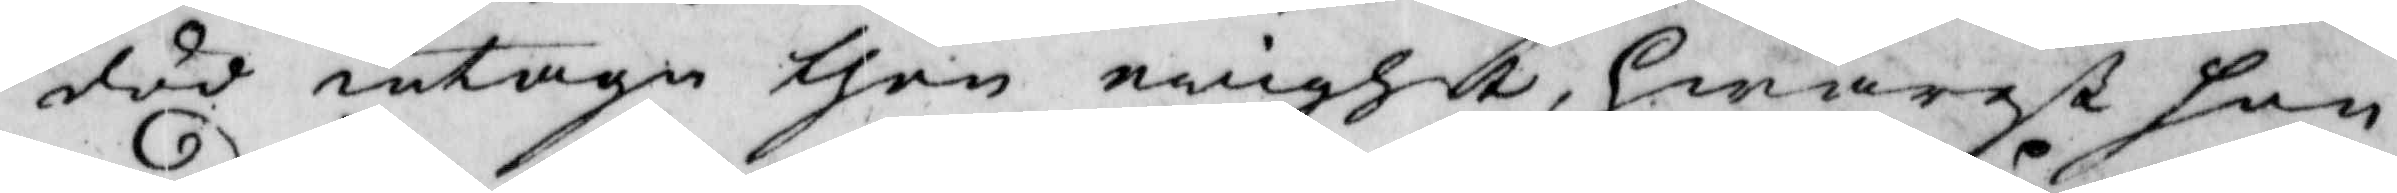död intaga then evighet, hwarest hon
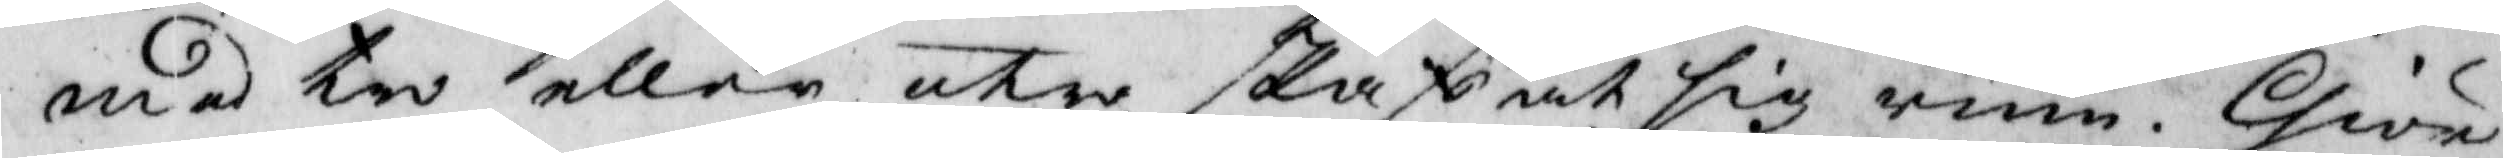med tro eller utro skaffat sig rum, Give
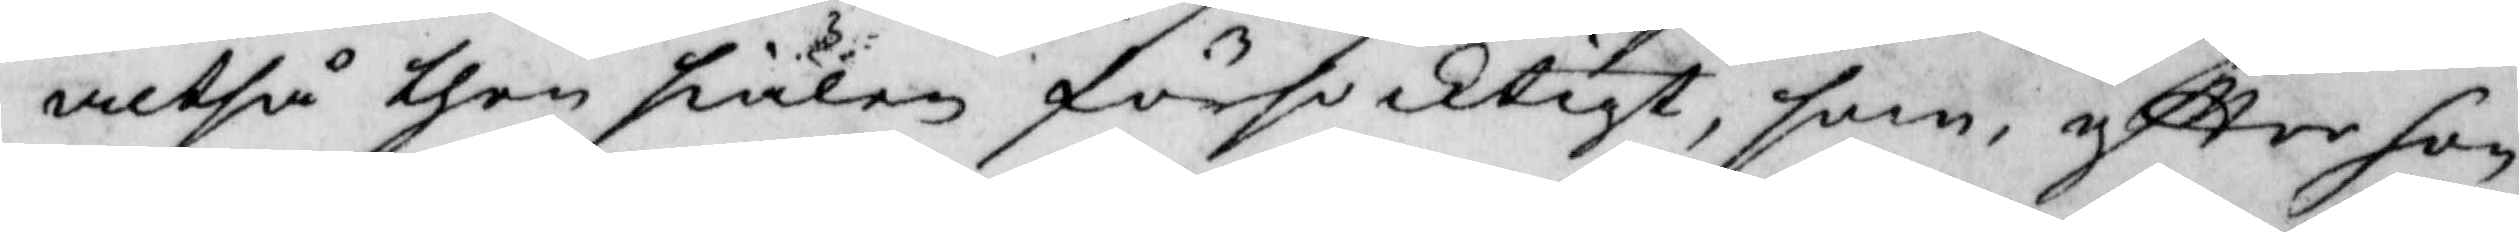altså then siälen försacktigt, som, eftter hon
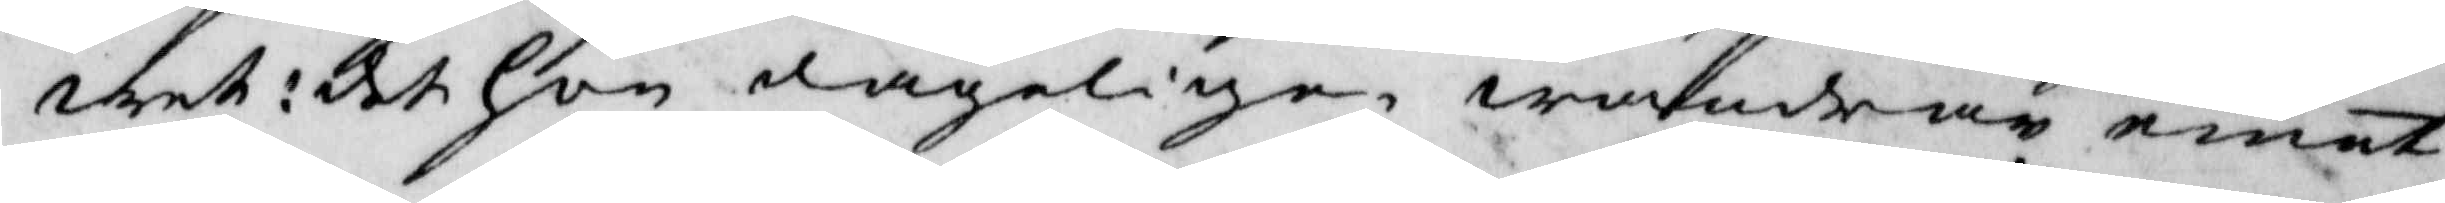wet: det hon dageligen wandrar emot
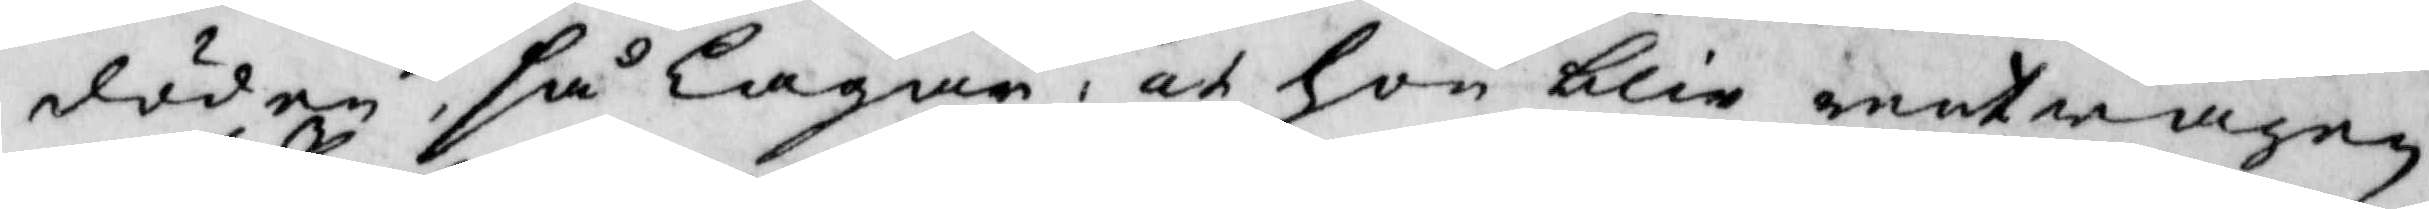döden, så lagar, och hon blir rentvagen
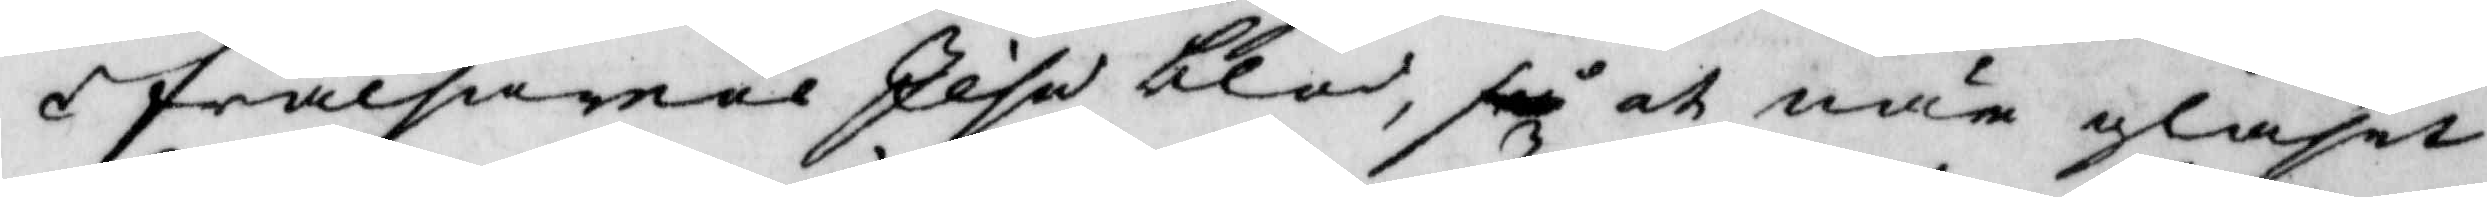i frälsarens Jesu blod, så och när glaset
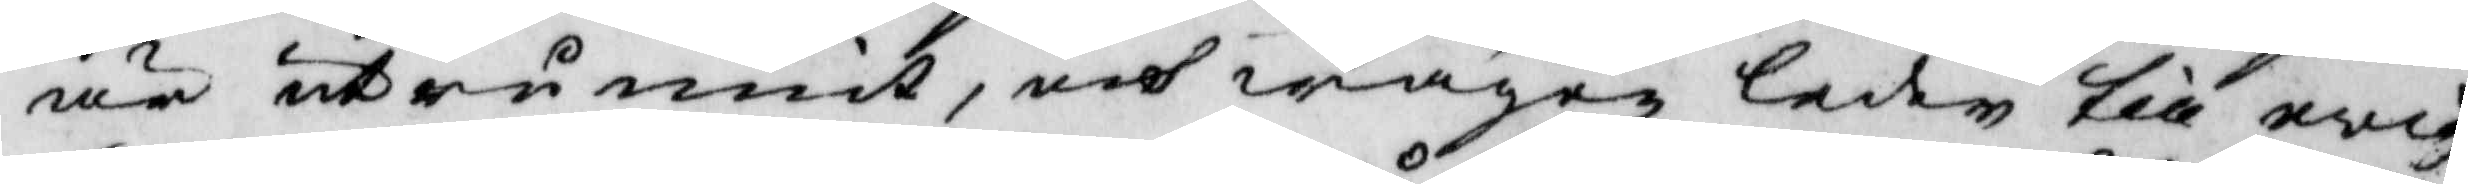är utrunnit, och wägen leder till evig¬
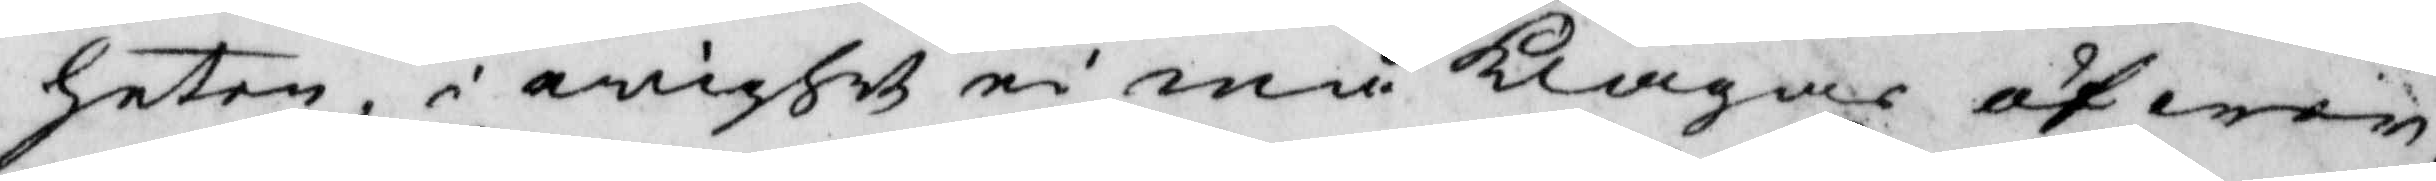heten, i evighet ei må klagas öfwer
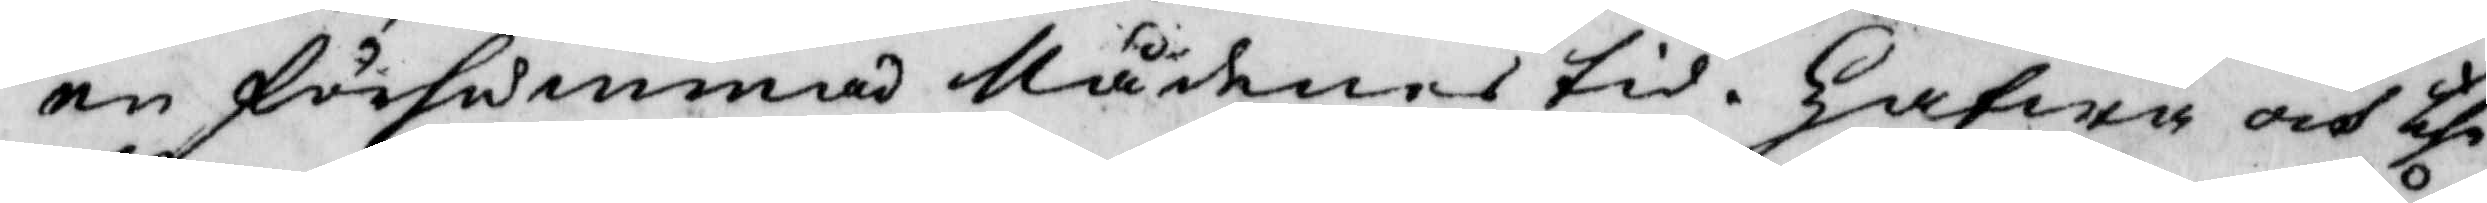en försummad Nådenes tid. hafwa och the
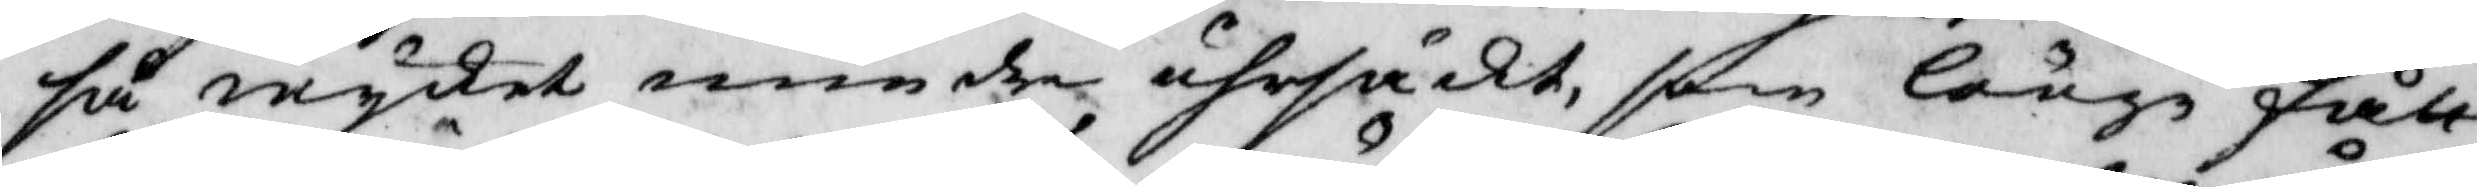så mycket mindre uhrsäckt, som länge fått
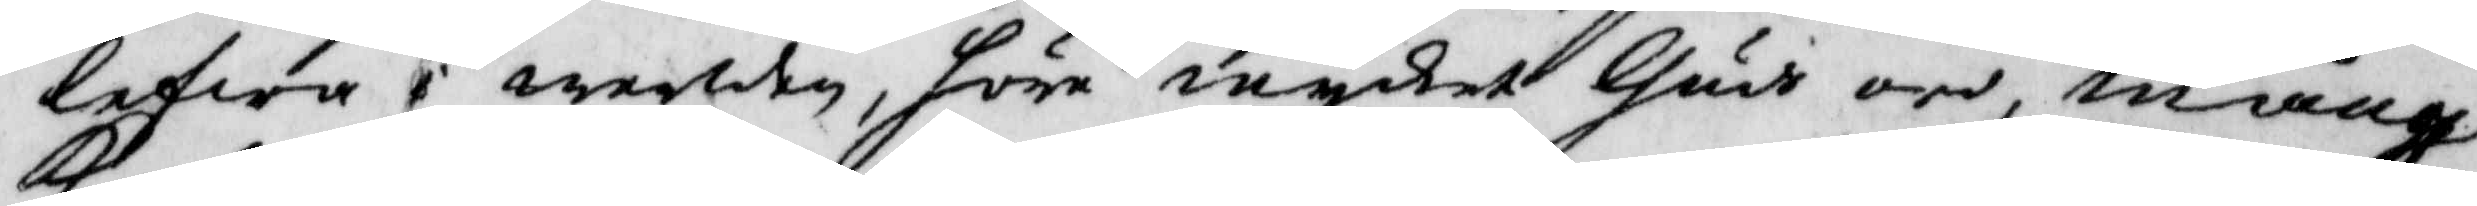lefwa i werlden, höra mycket Gudi ord, många
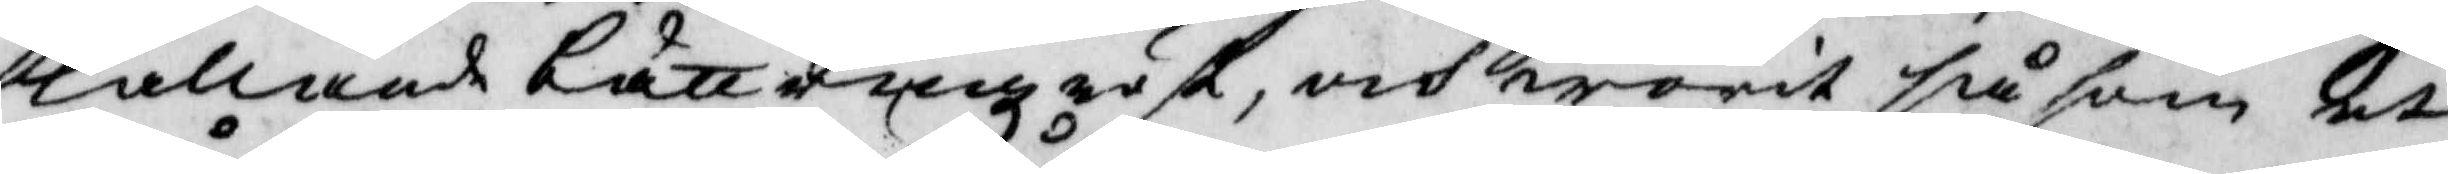kallade bättringz röst, och warit såsom et
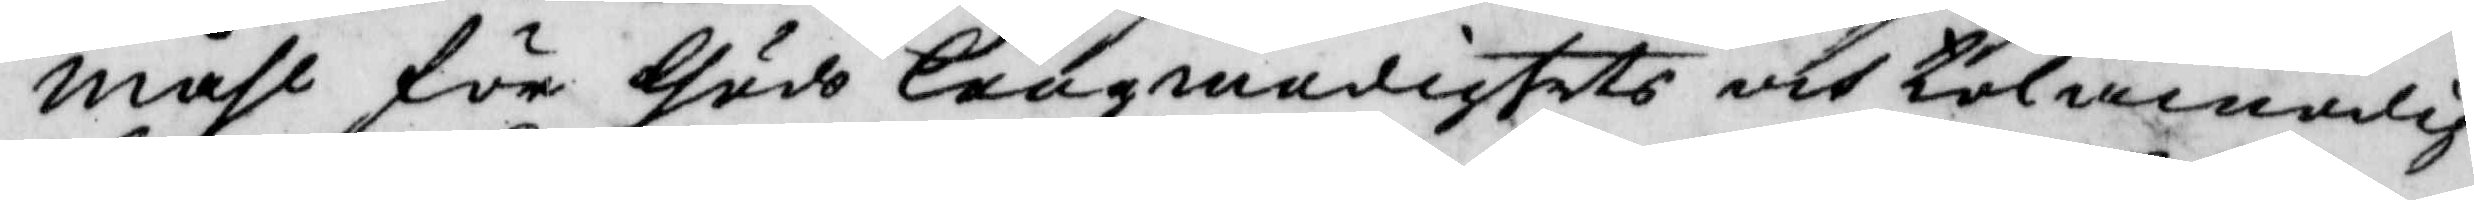måhl för Gudi längmedigstets at tolamodig¬
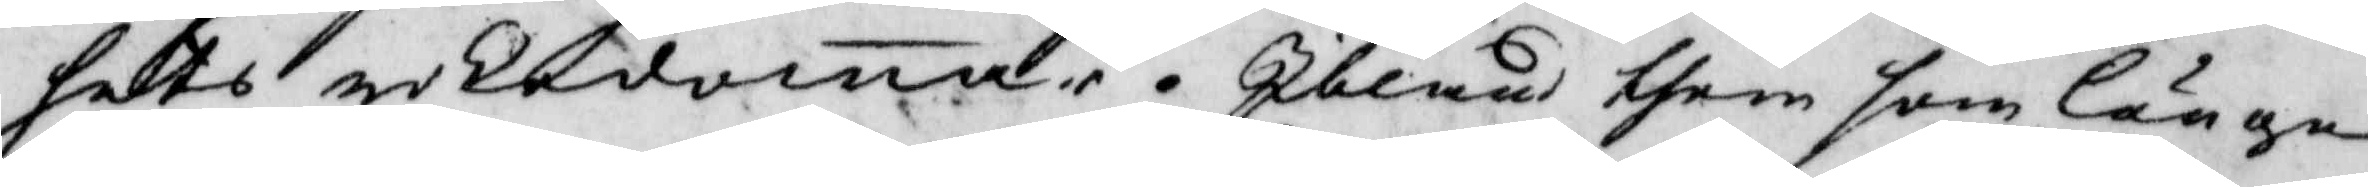hets nekedoma, Ibland them som länge
